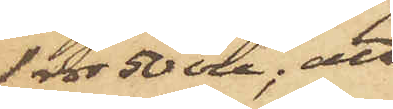1 rdr 50 öre; att
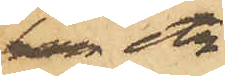han etc.
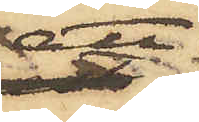att
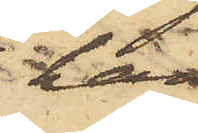han
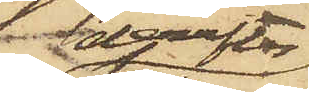derefter
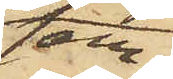sam¬
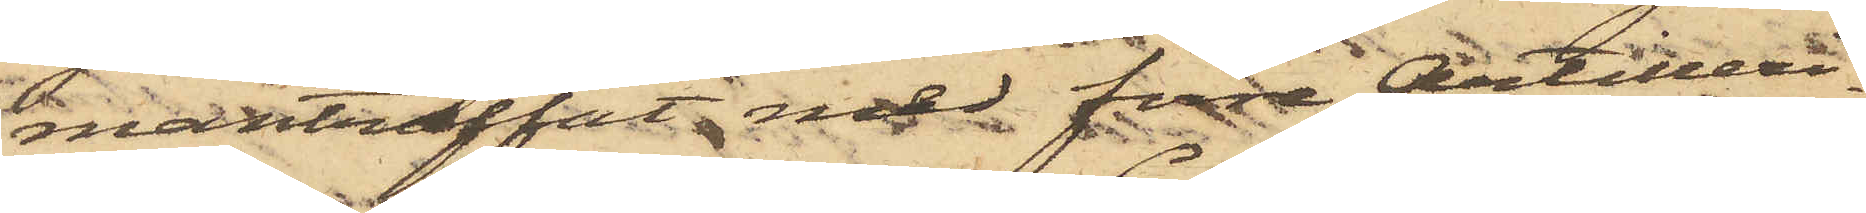manträffat med förre Artilleri¬
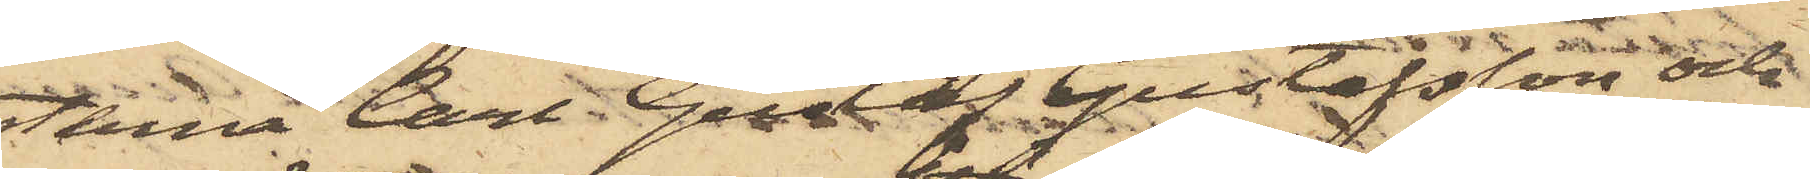sten Carl Gustaf Gustafsson och
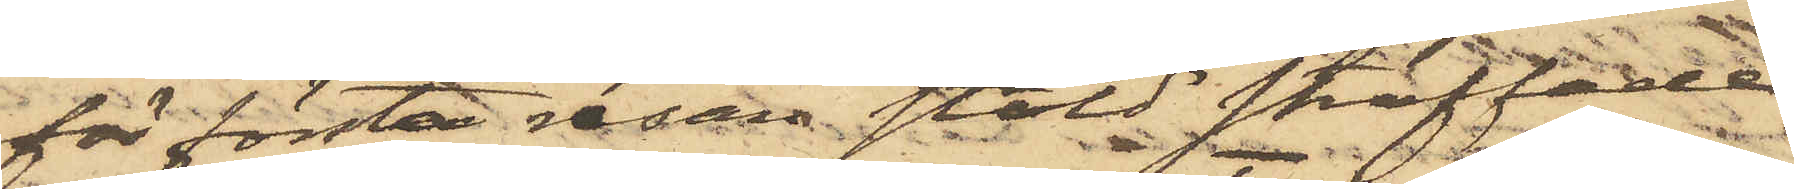för första resan stöld straffade
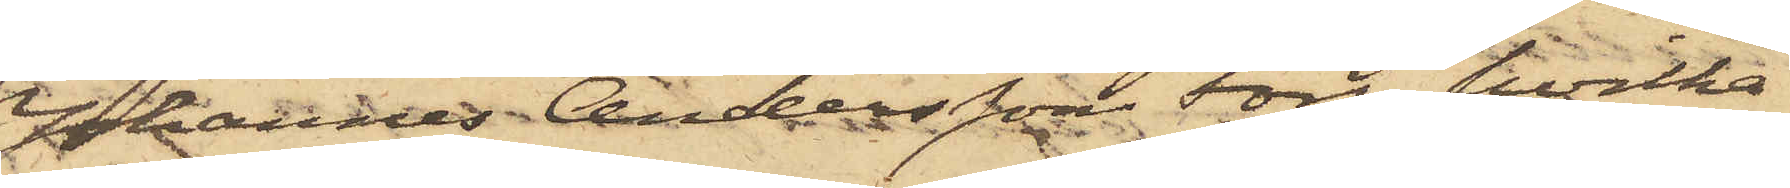Johannes Andersson Fors, hvilka
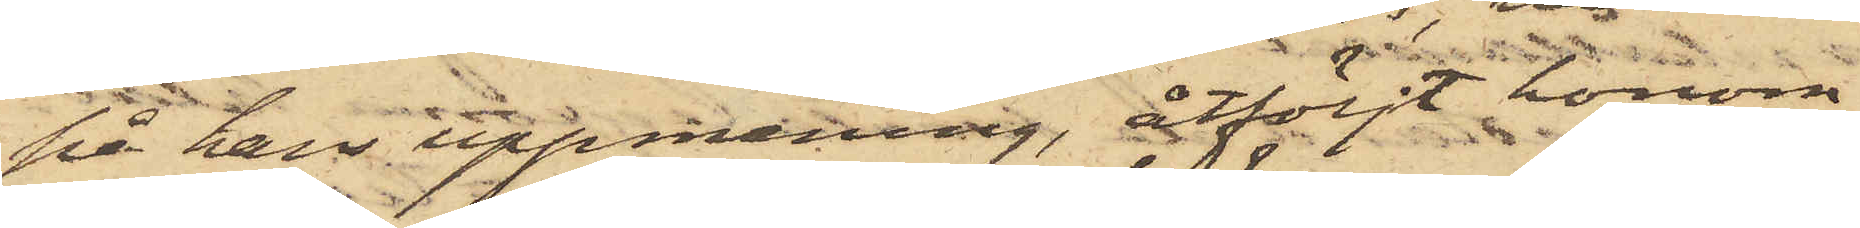på hans uppmaning, åtföljt honom
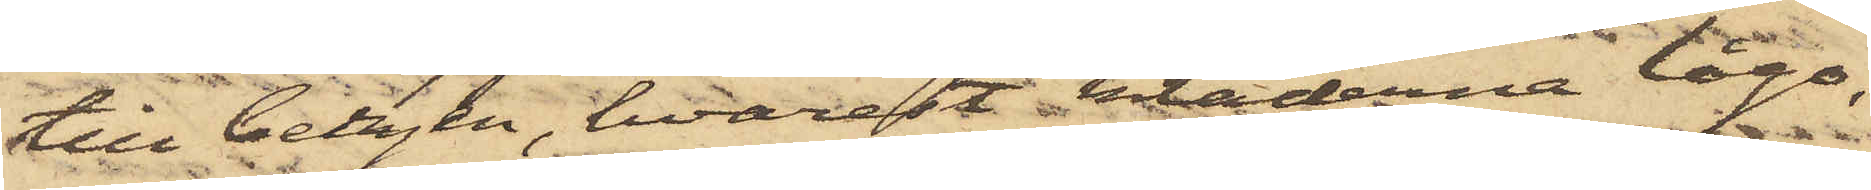till bergen, hvarest kläderna lågo,
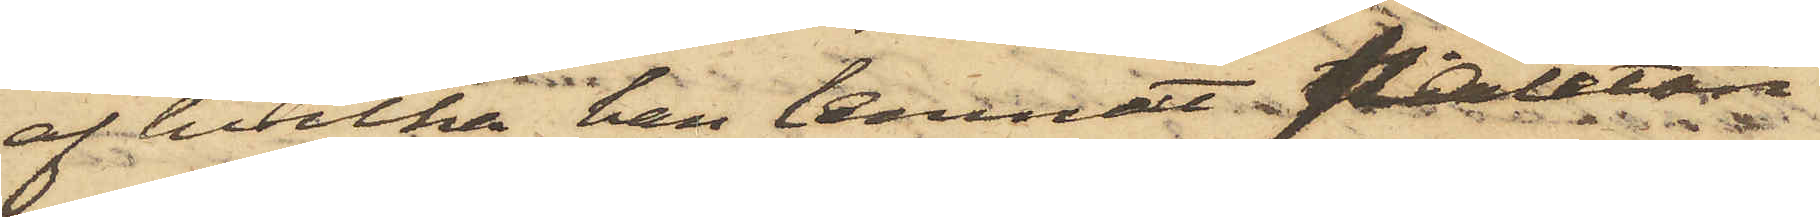af hvilka han lemnat paletån
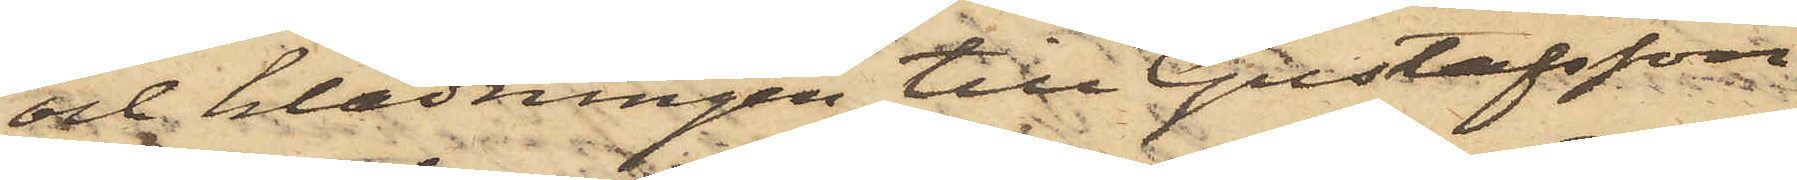och klädningen till Gustafsson
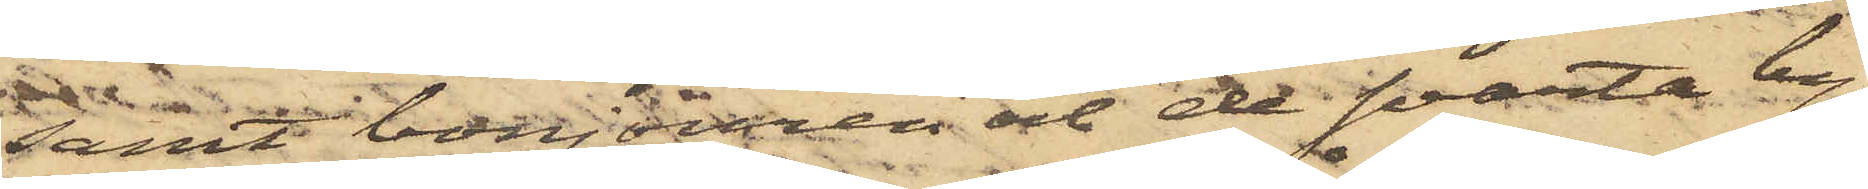samt bonjouren och de svarta by¬
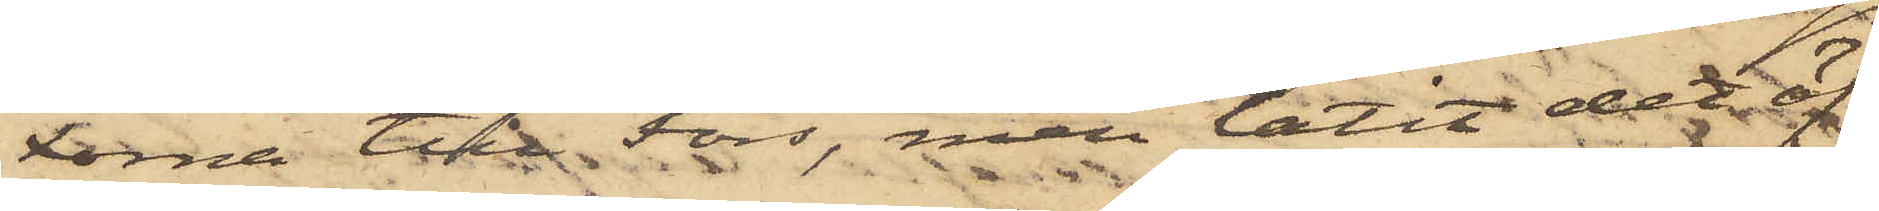xorna till Fors, men låtit det öf¬
